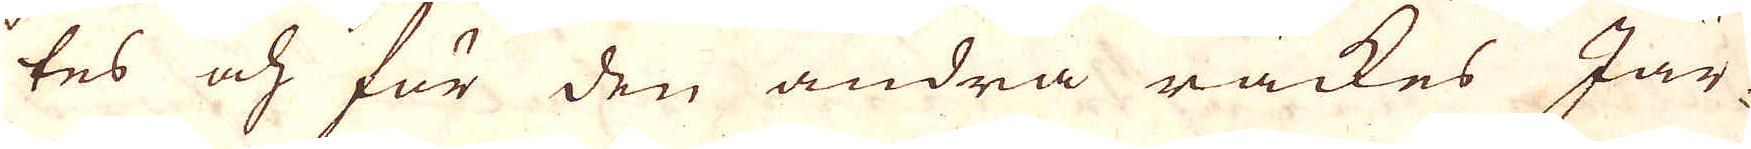tes och för den andra räckes Jär-
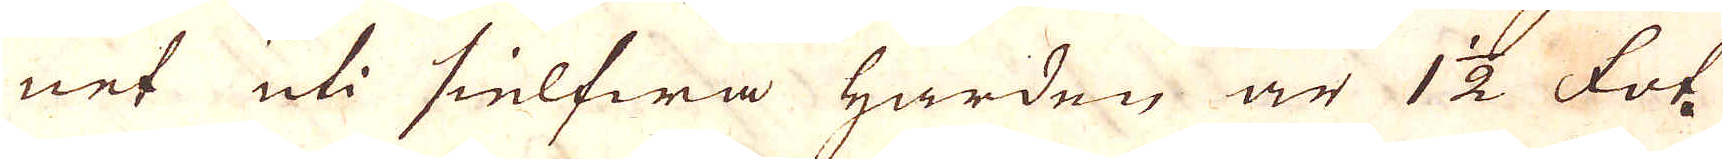net uti sielfwa härden är 1 1/2 fot.
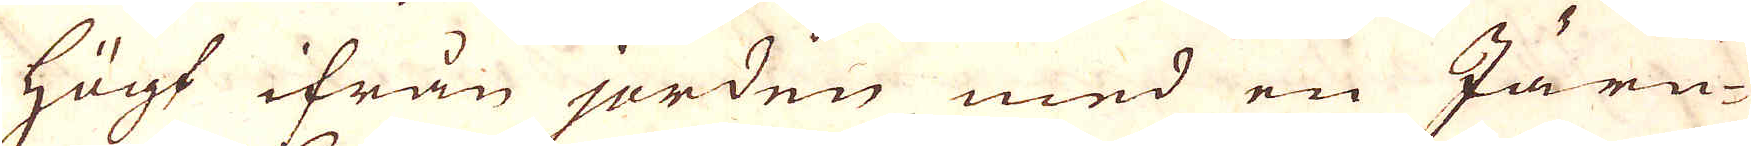Högt ifrån jorden med en Järn-
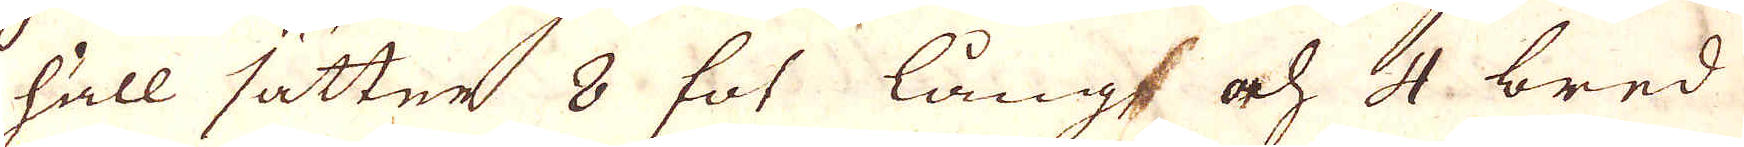häll sätter 8 fot lång, och 4 bred
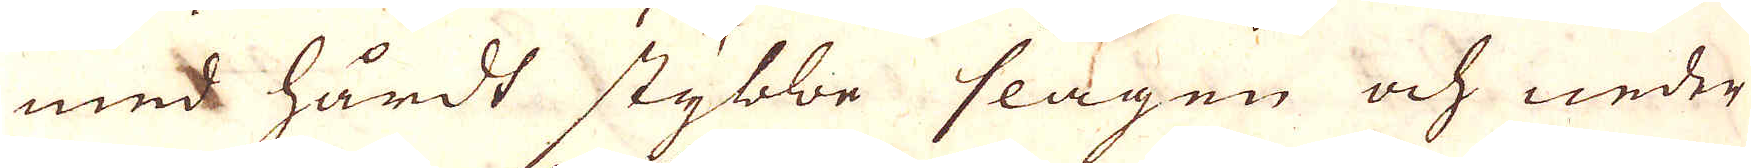med hårdt stybbe slagen och neder
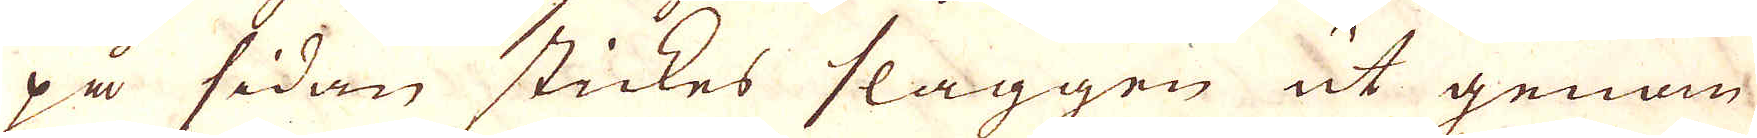på sidan stickes slaggen ut genom
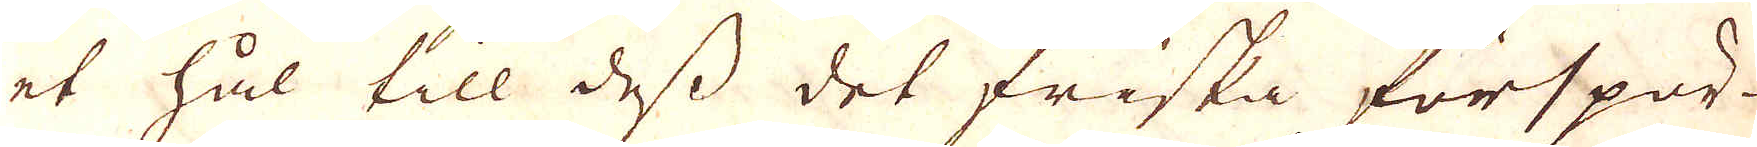et hål till dess det friska förspör-
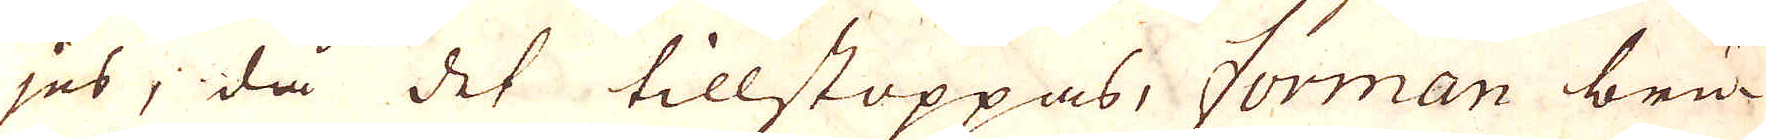jes, då det tillstoppas, forman bru-
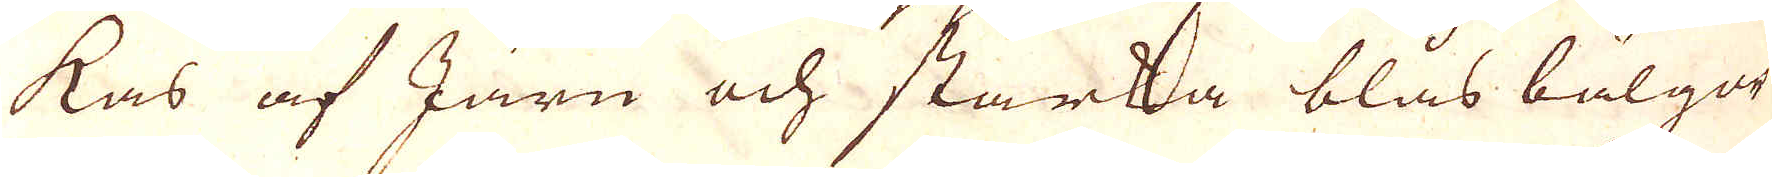kas af Järn och starka blåsbälgar
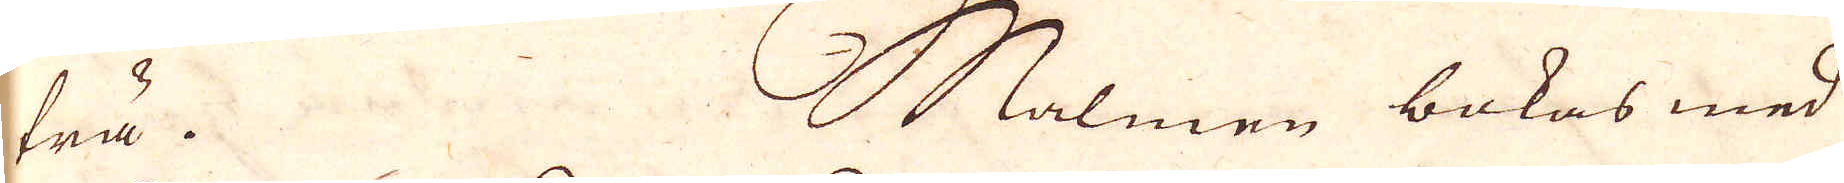trä. Malmen bokas med
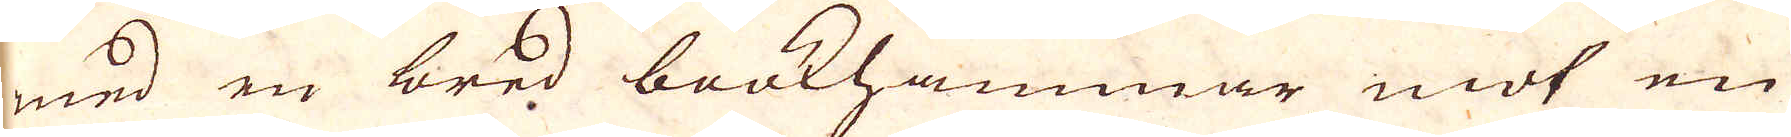med en bred bookhammar mot en
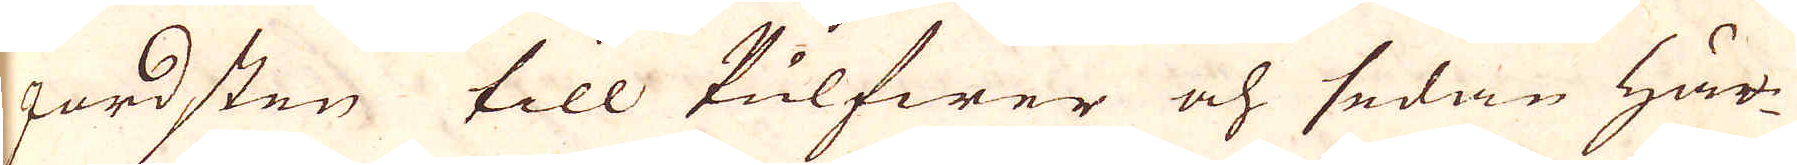jordsten till Pulfwer och sedan här-
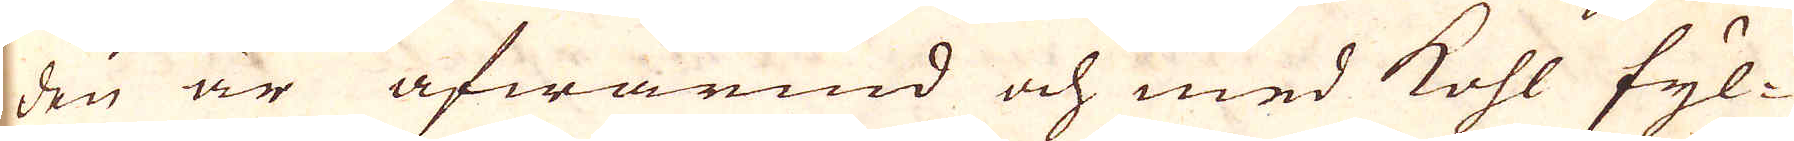den är afwärmd och med kohl fyl-
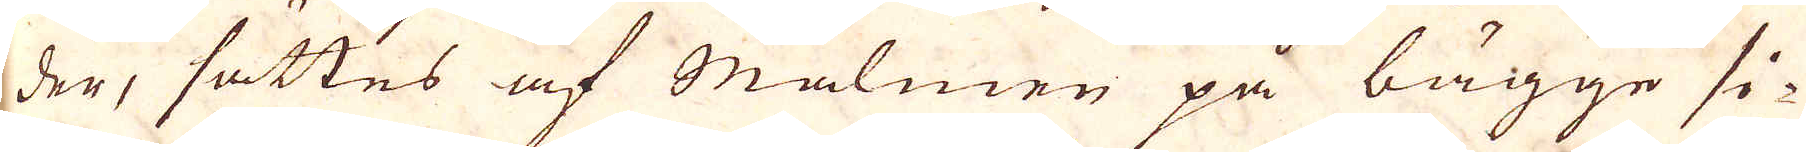den, sättes af Malmen på bägge si-
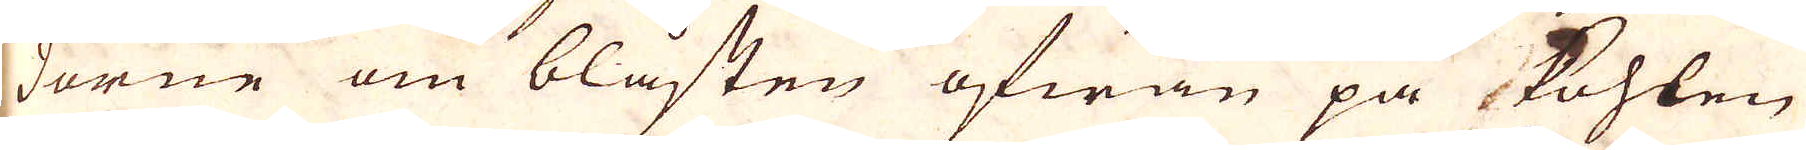dorne om blåsten ofwan på kohlen
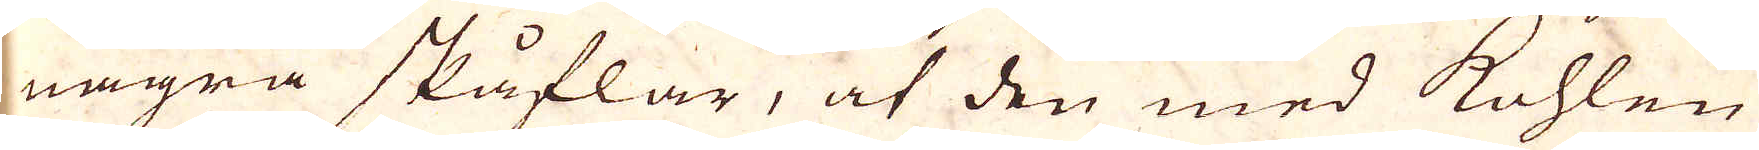några skåflar, at den med kohlen
